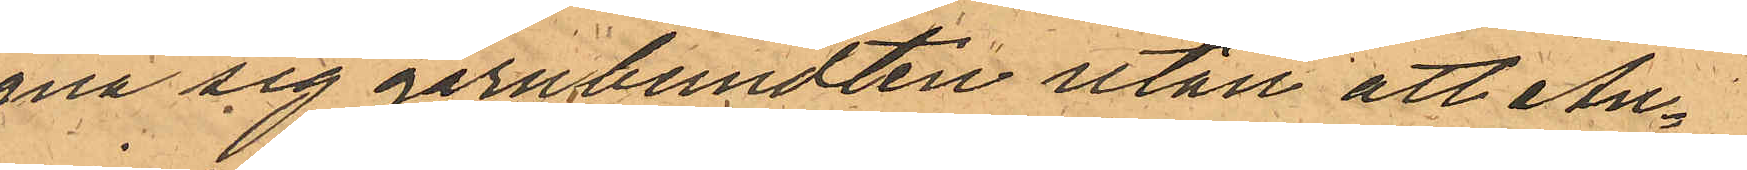egna sig garnbundten utan att An¬
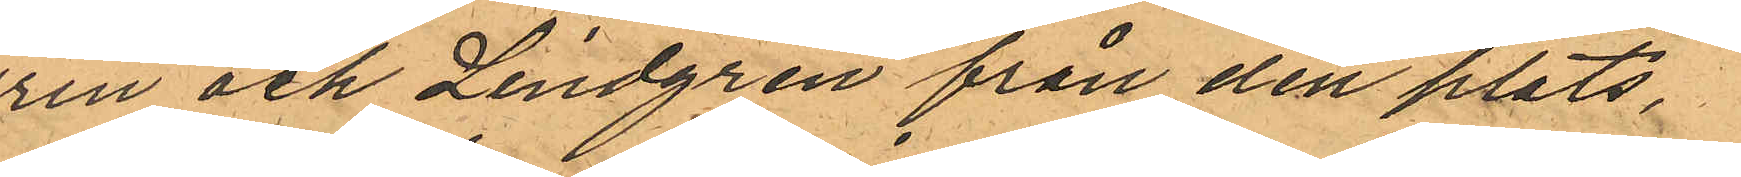drén och Lindgren från den plats,
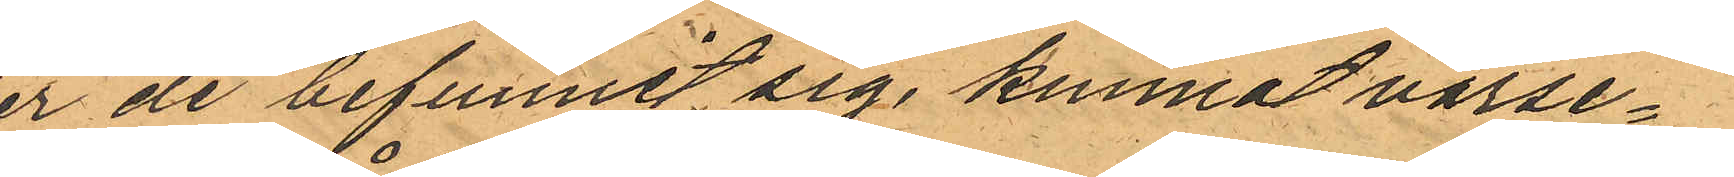der de befunnit sig, kunnat varse¬
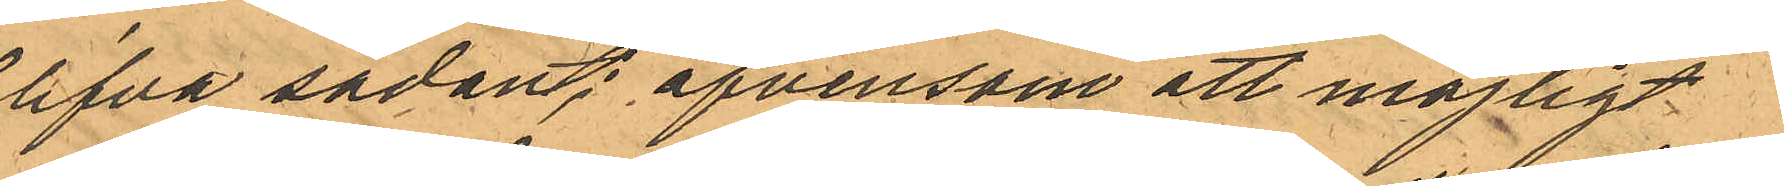blifva sådant; äfvensom att möjligt
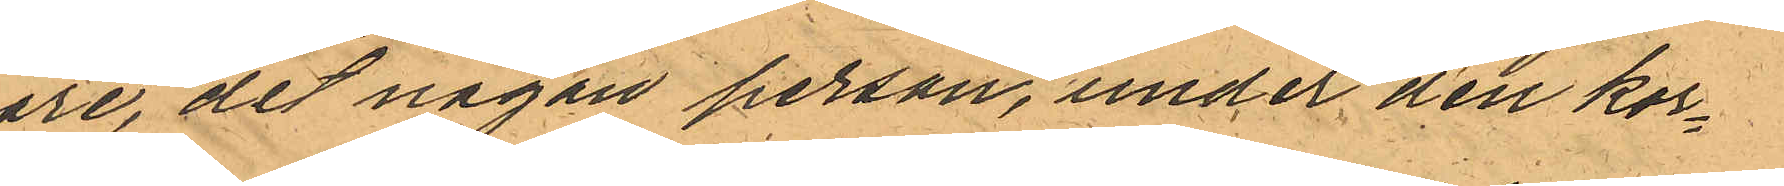vore, det någon person, under den kor¬
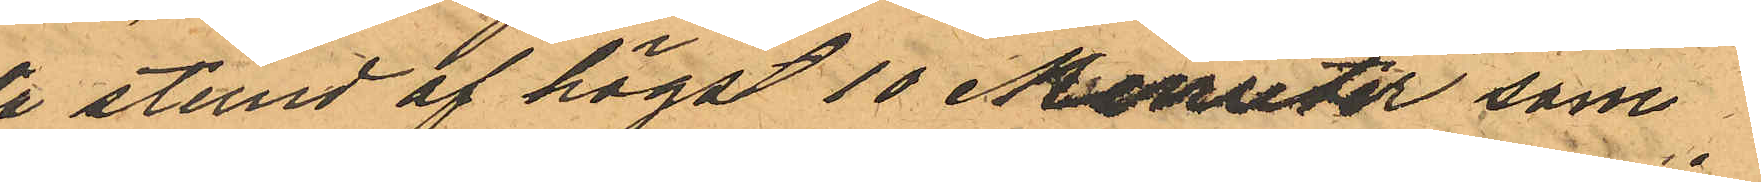ta stund af högst 10 Minuter som
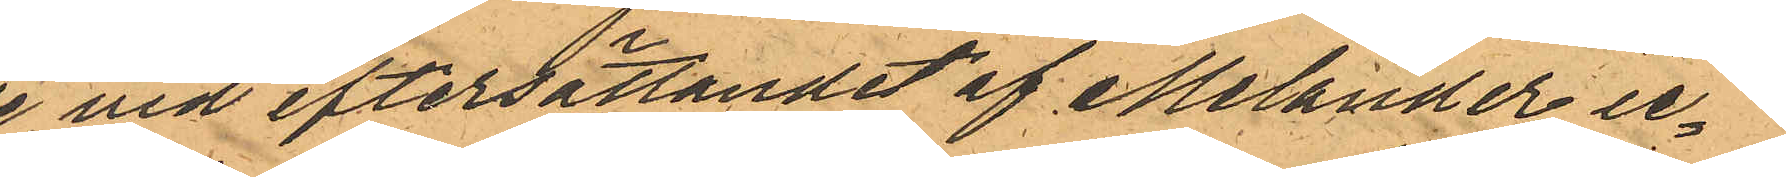de vid eftersättandet af Melander ic¬
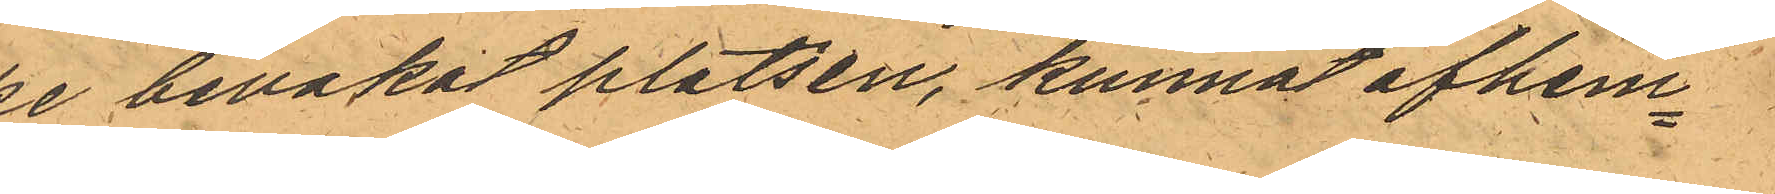ke bevakat platsen, kunnat afhem¬
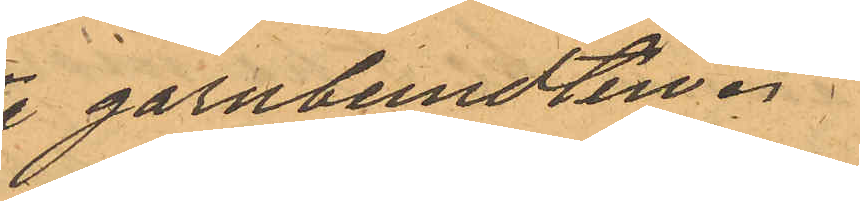ta garnbundten.
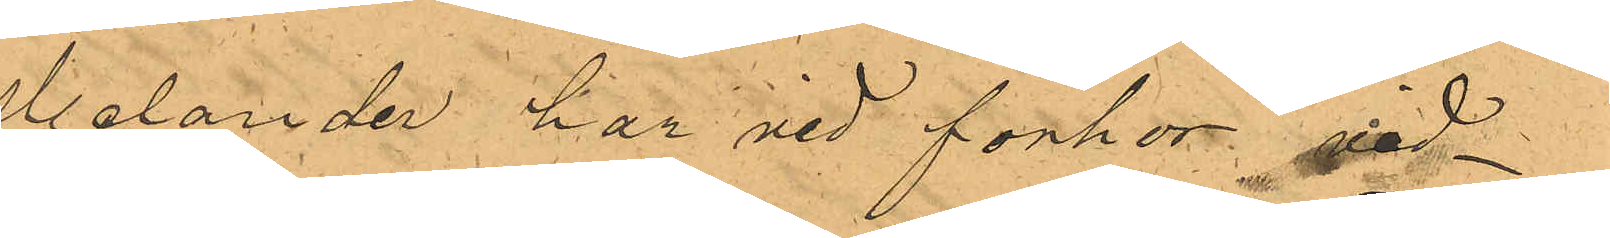Melander har vid förhör vid¬
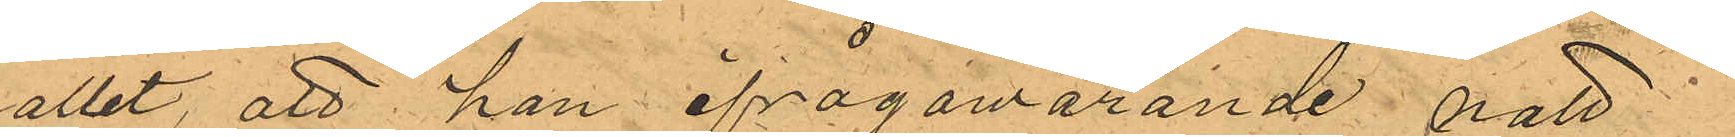hållit, att han ifrågavarande natt¬
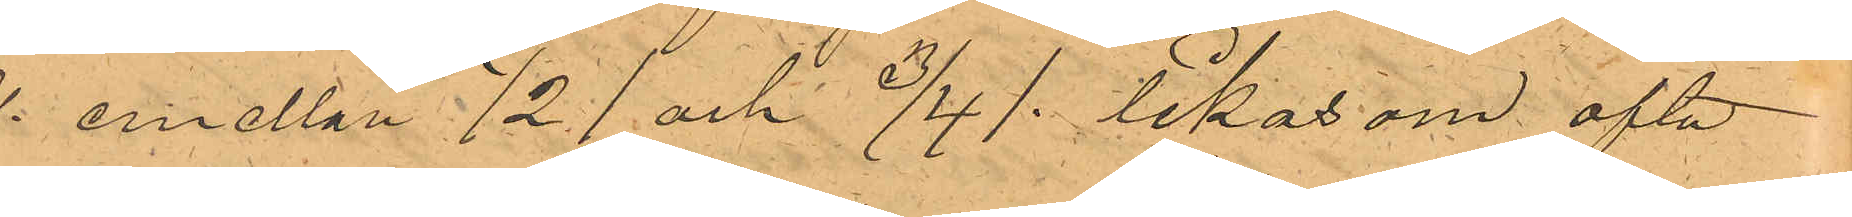kl. emellan 1/2 1 och 3/4 1 likasom ofta
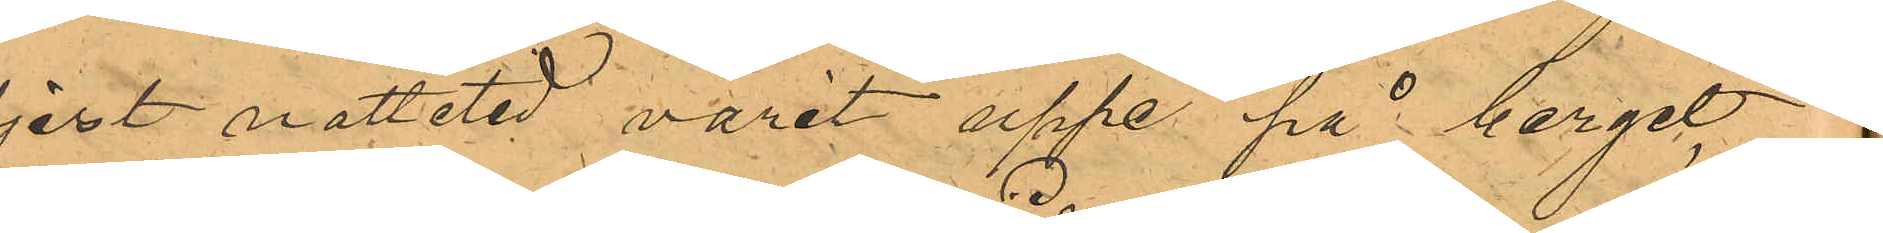eljest nattetid varit uppe på berget
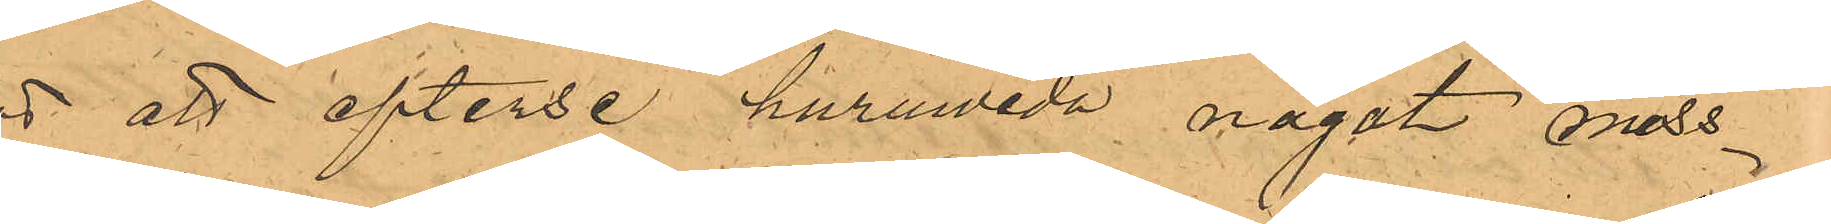för att efterse huruwida något mss¬
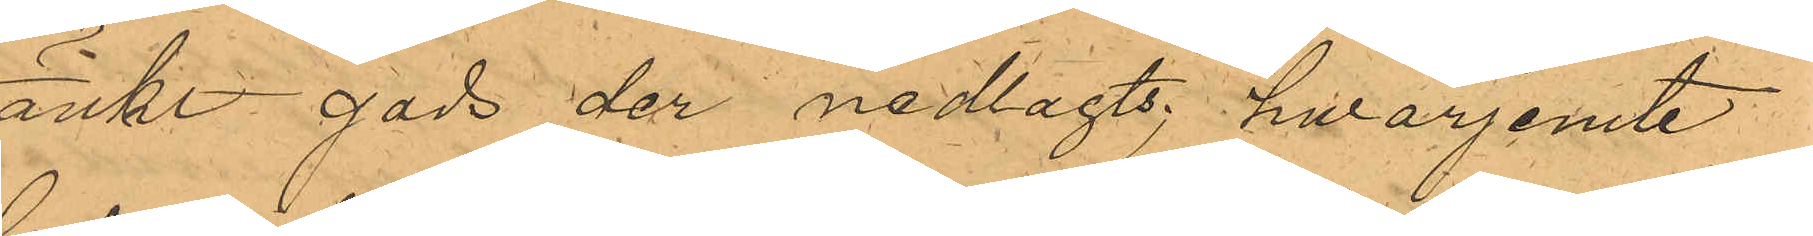tänkt gods der nedlagts; hwarjemte
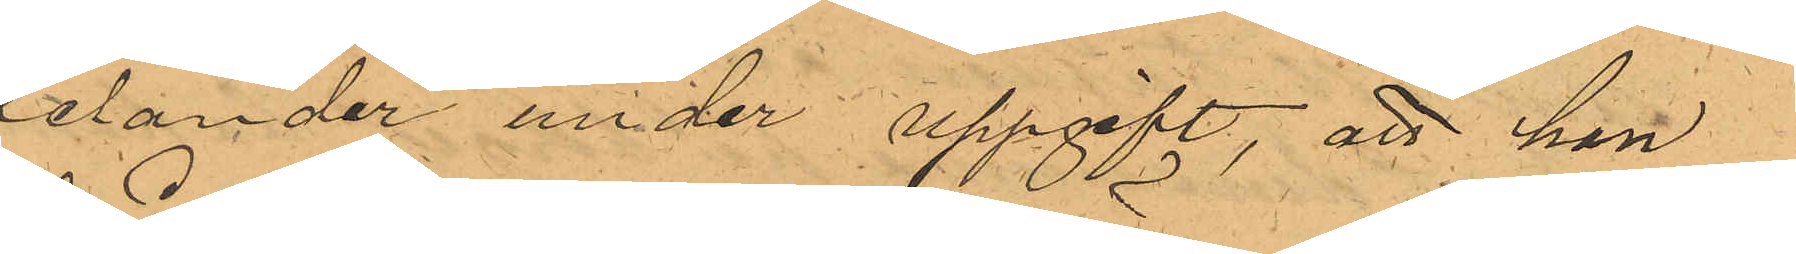Melander under uppgift, att han
